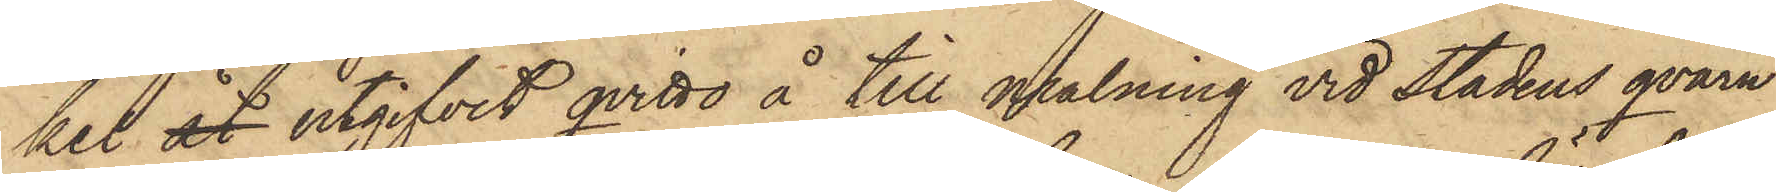kel åt utgifvit qvitto å till malning vid stadens qvarn
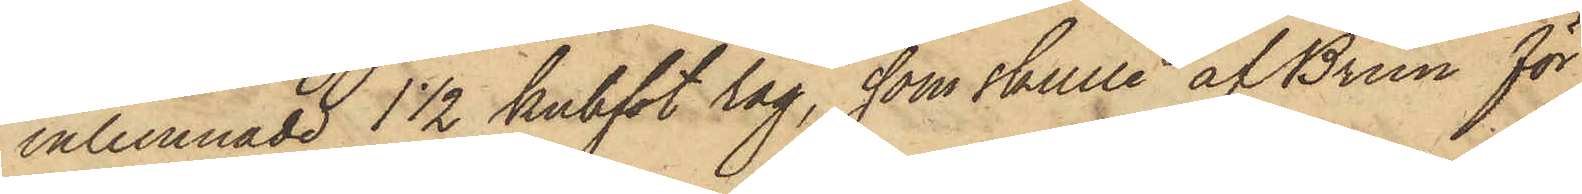inlemnade 1 1/2 kubfot råg, som skulle af Brun för
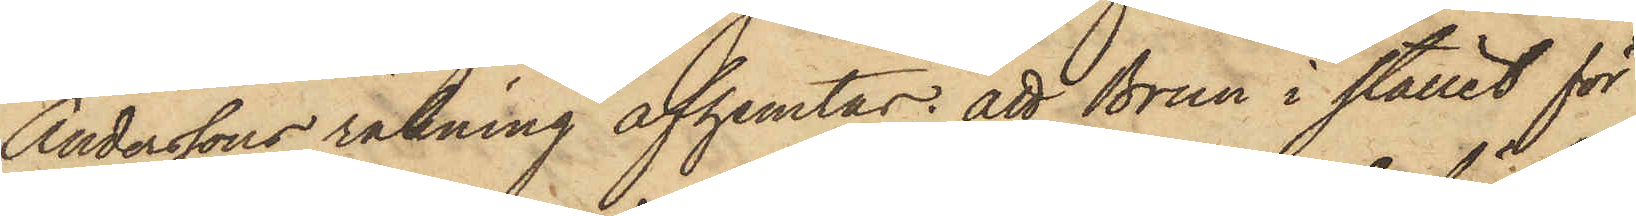Anderssons räkning afhemtas: att Brun i stället för
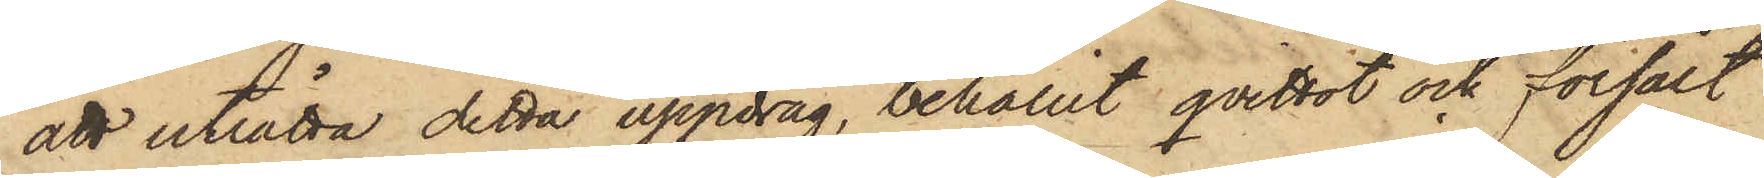att uträtta detta uppdrag, behållit qvittot och försålt
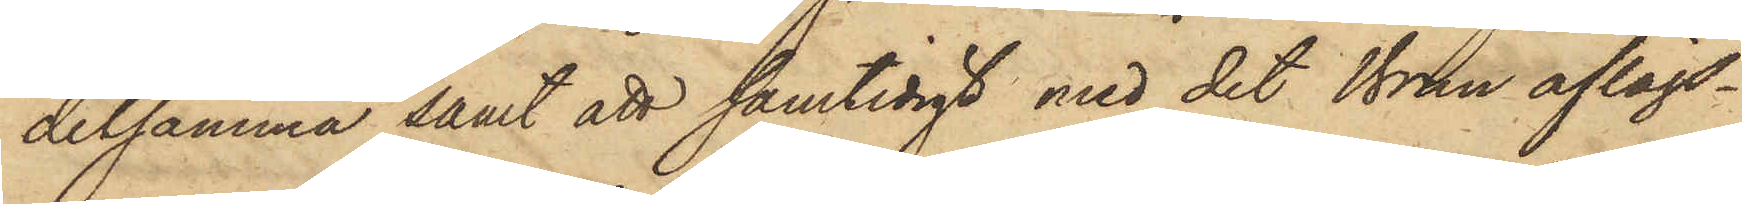detsamma samt att samtidigt med det Brun aflägs¬
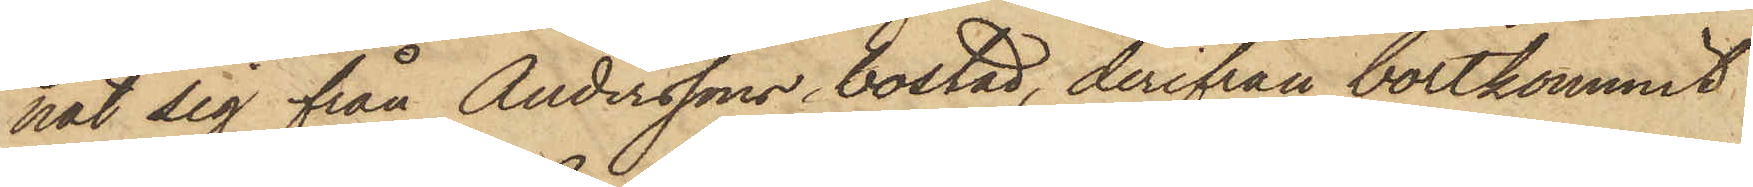nat sig från Anderssons bostad, derifrån bortkommit
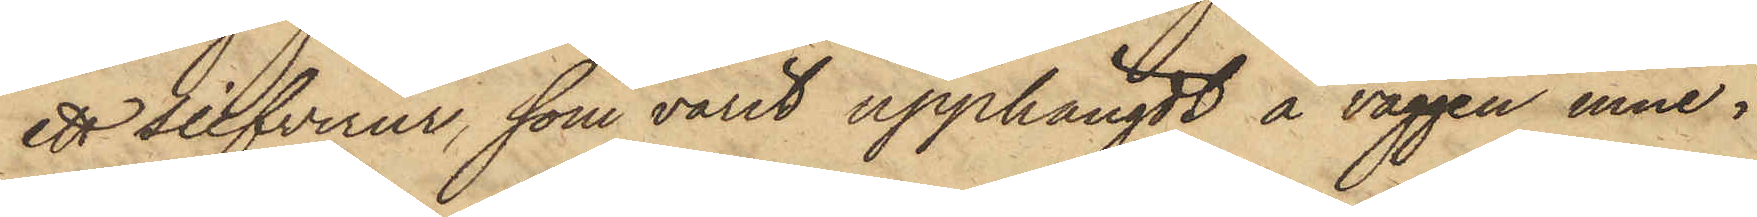ett silfverur, som varit upphängdt å väggen inne i
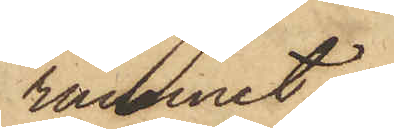rummet.
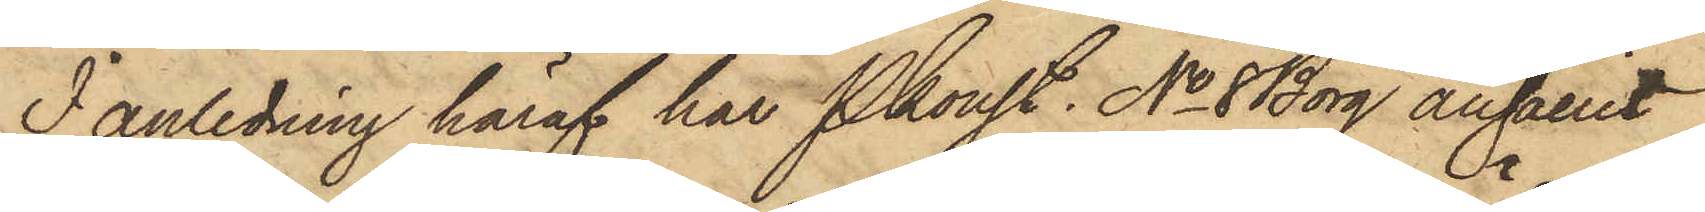I anledning häraf har Pkonst. No 8 Borg anhållit
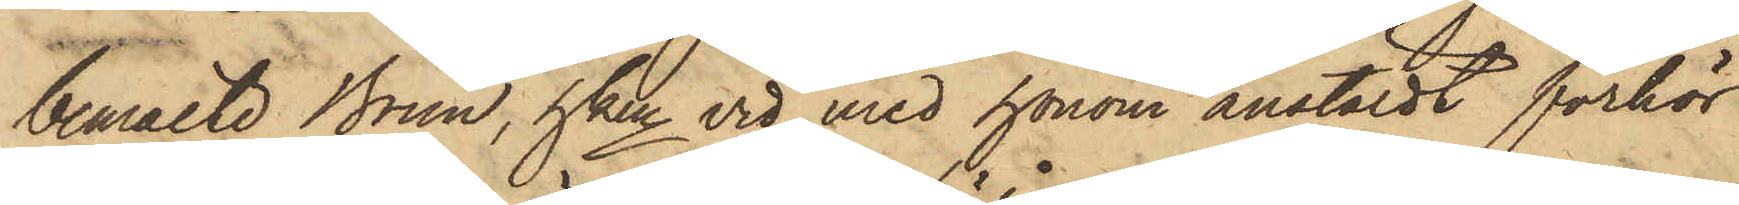bemälte Brun, hken vid med honom anstäldt förhör
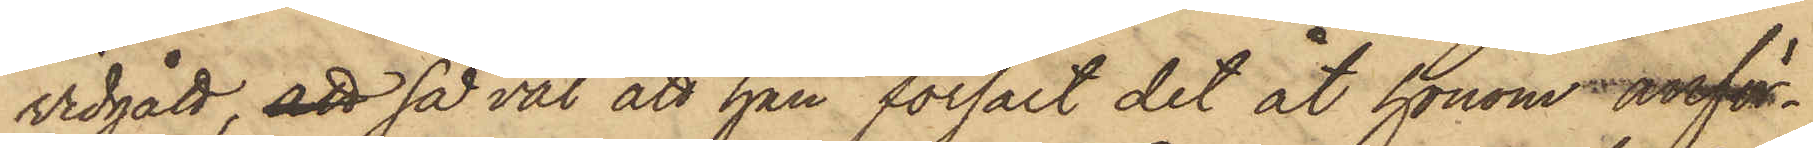vidgått, att så väl att han försålt det åt honom anför¬
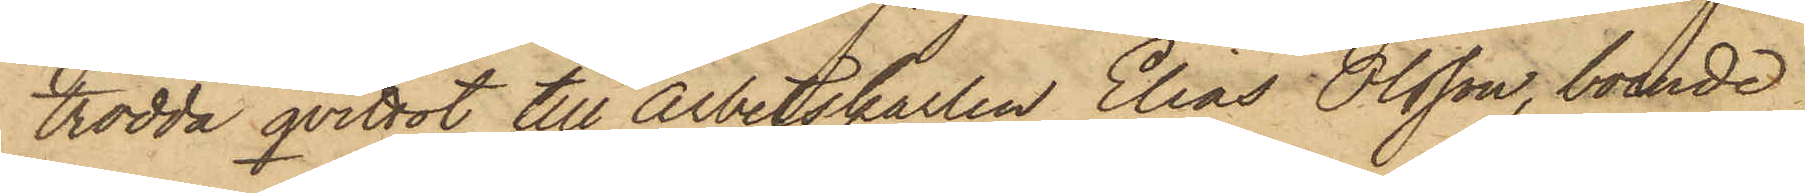trodda qvittot till Arbetskarlen Elias Olsson, boende
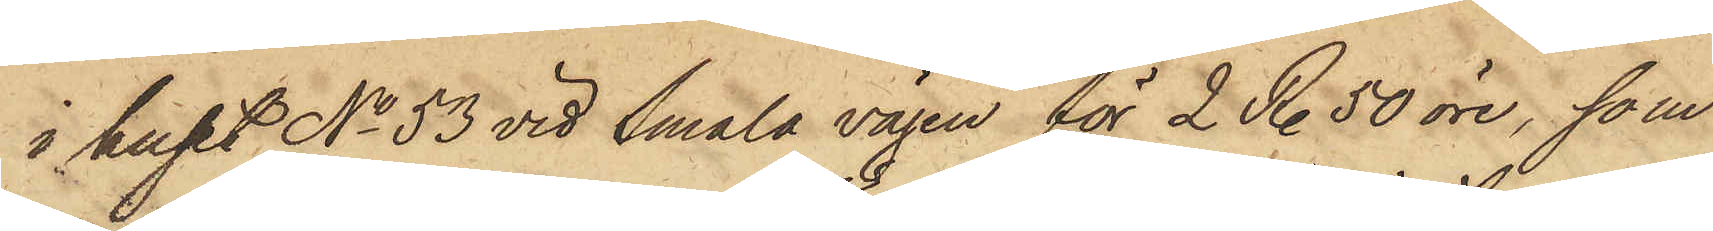i huset No 53 vid Smala vägen för 2 R. 50 öre, som
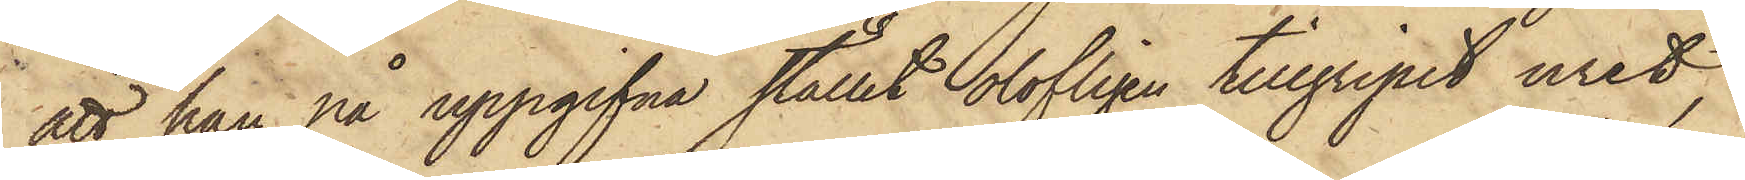att han på uppgifna stället olofligen tillgripit uret,
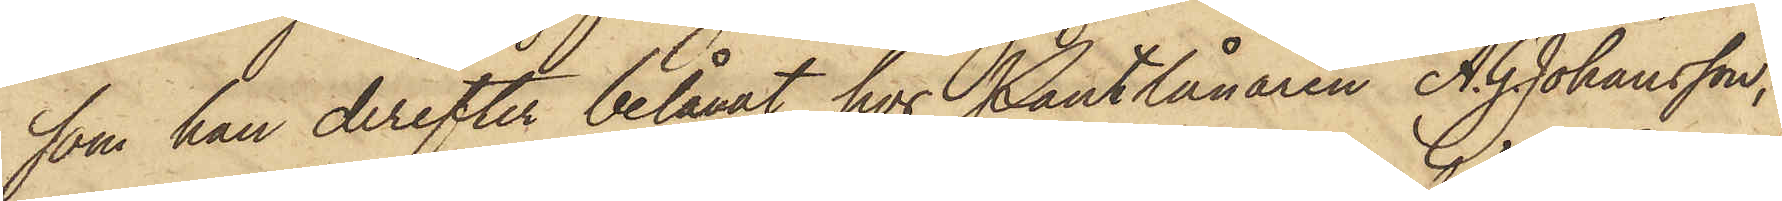som han derefter belånat hos Pantlånaren A. G. Johansson,
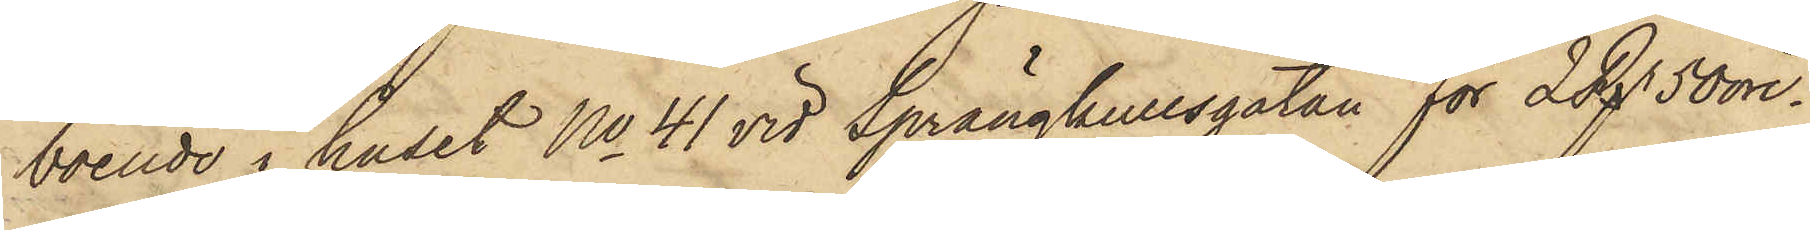boende i huset No 41 vid Sprängkullsgatan för 2 Rgr 50 öre.
